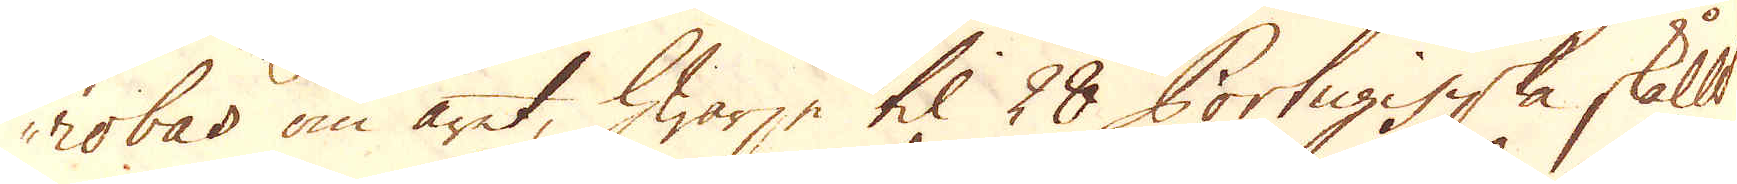robas om året, hwarje til 28 Portugisiska skållt
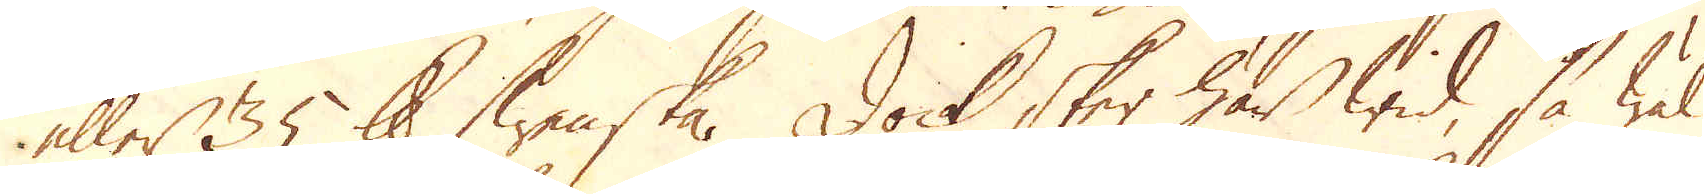eller 35 skålpund Swenska. Dock sker här wid, så wäl
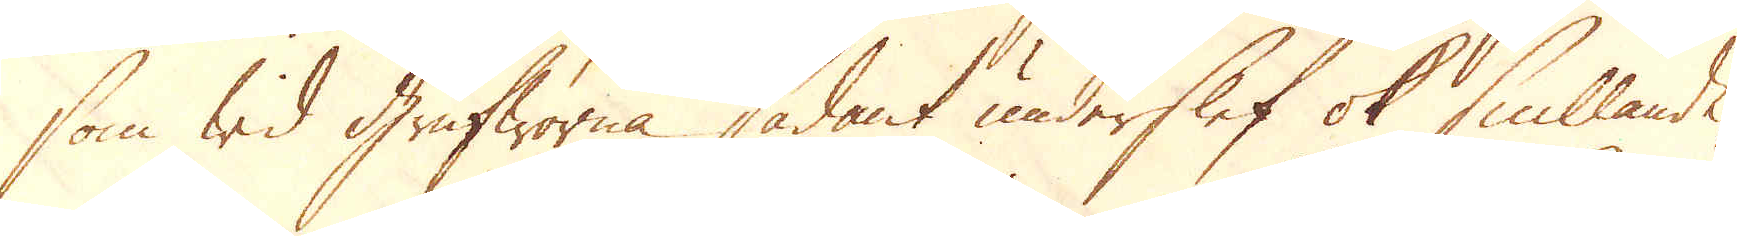som wid Grufworna sådant underslef ok smillande,
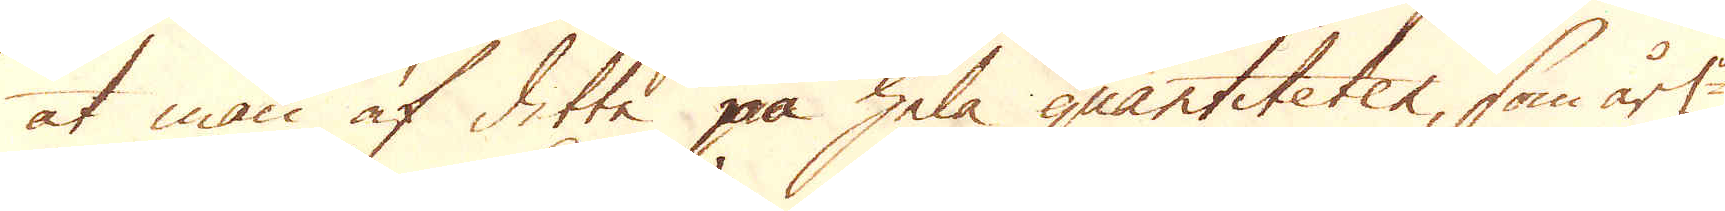at man af detta på hela quantiteter, som årl:n
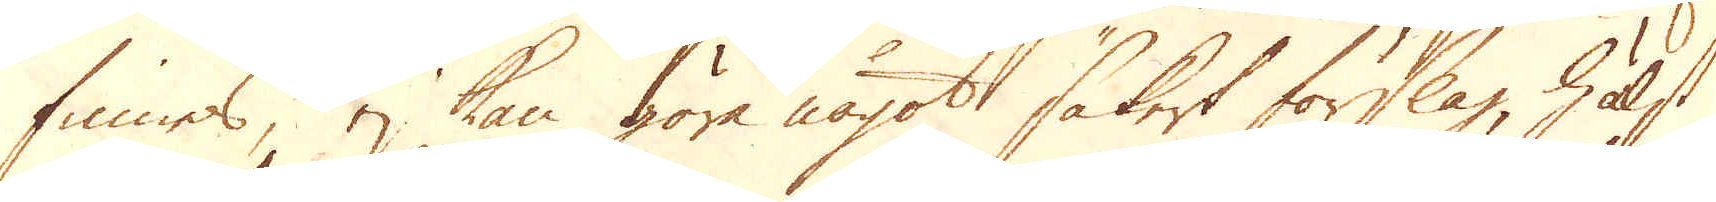finnes, ej kan göra något säkert förslag, hälst
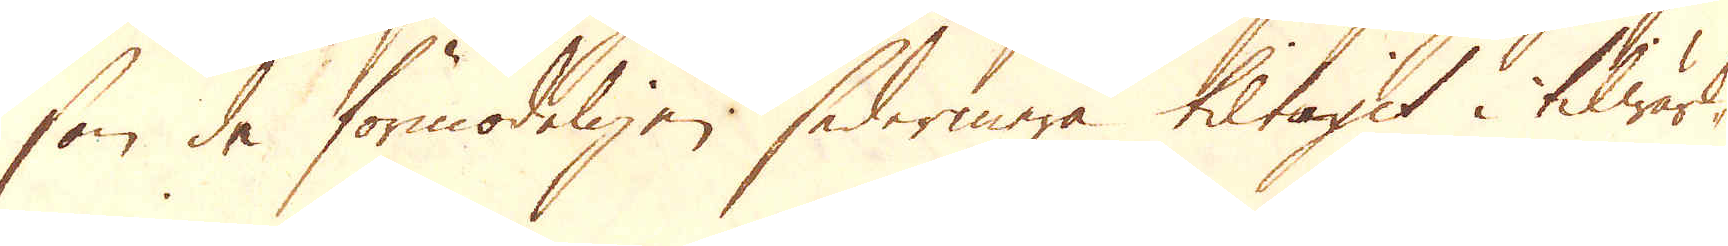som de förmodeligen sedermera tiltagit i tilwärk-
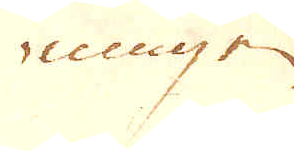ningen.
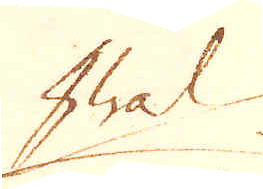hwad
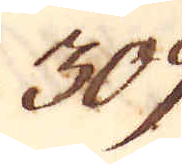309.
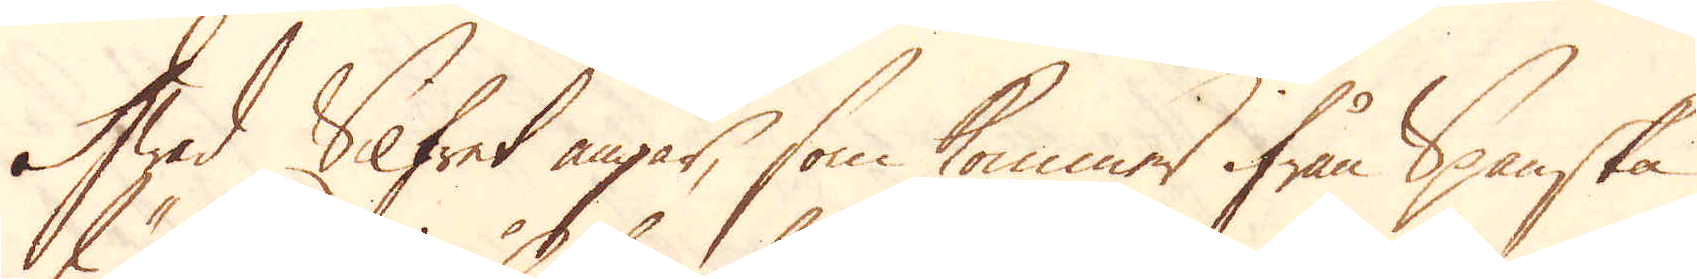Hwad Silfret angår, som kommer ifrån Spanska
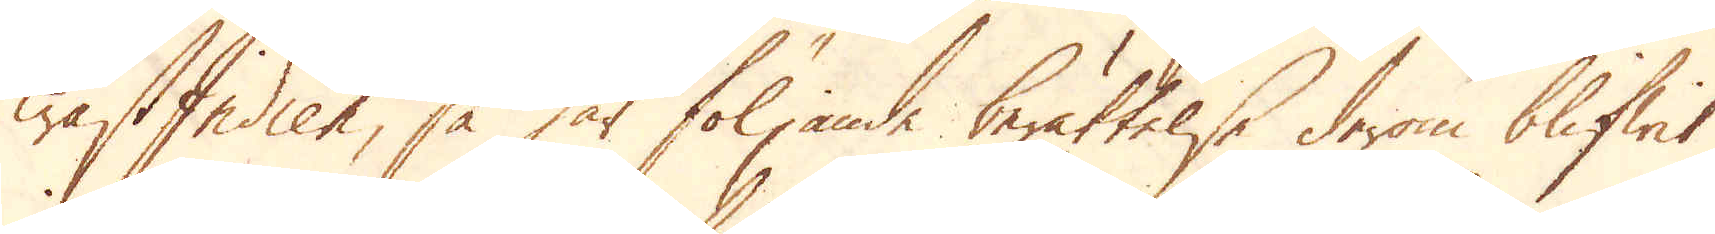wästIndien, så har följande berättelse derom blifwit
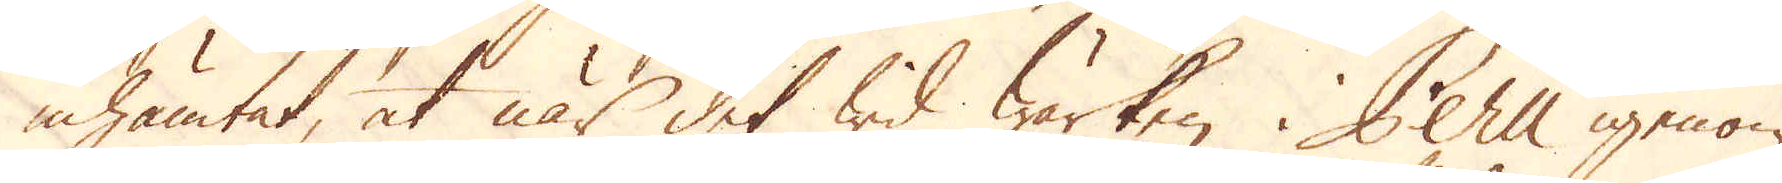inhämtat, at när det wid Wärken i Peru igenom
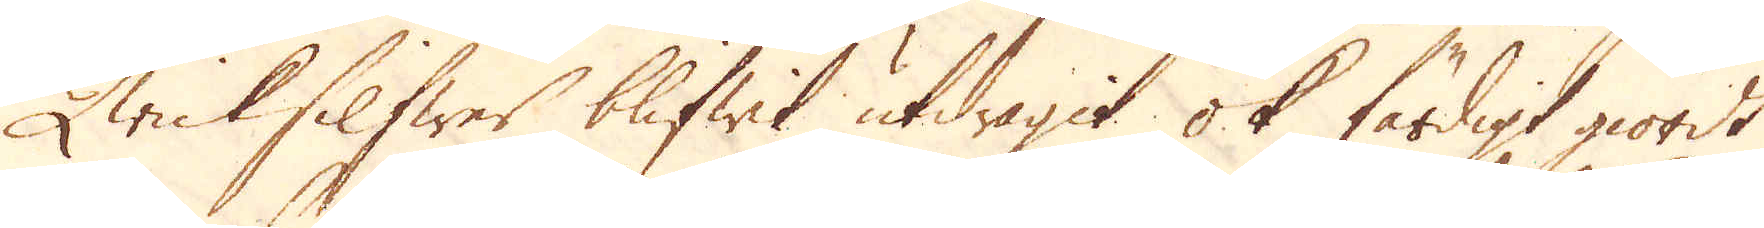Qwicksilfwer blifwit utdragit ok färdigt giordt
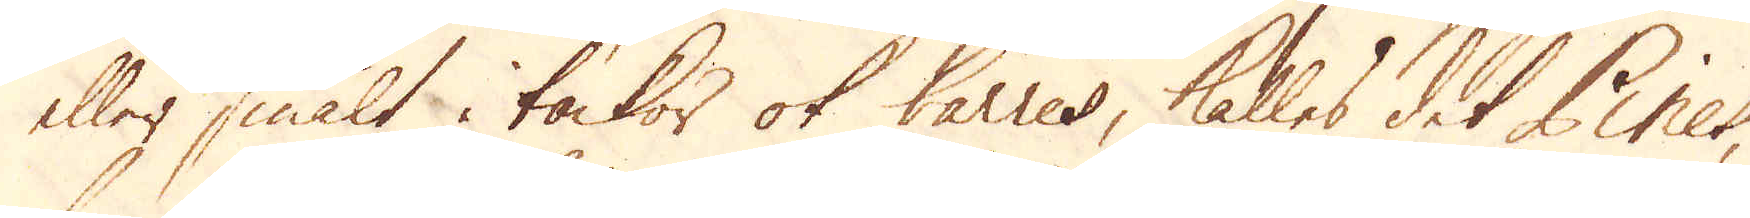eller smält i tackor ok barres, kalles det Pines,
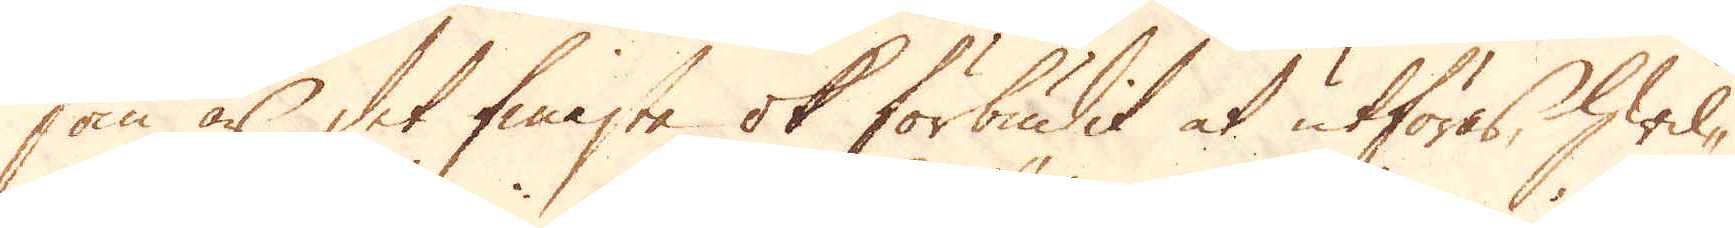som är det finaste ok förbudit at utföras, hwil-
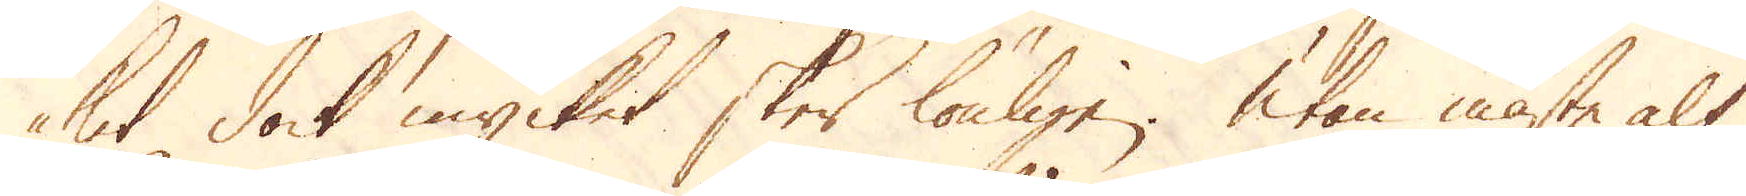ket dock mycket sker lönligen. Utan måste alt
